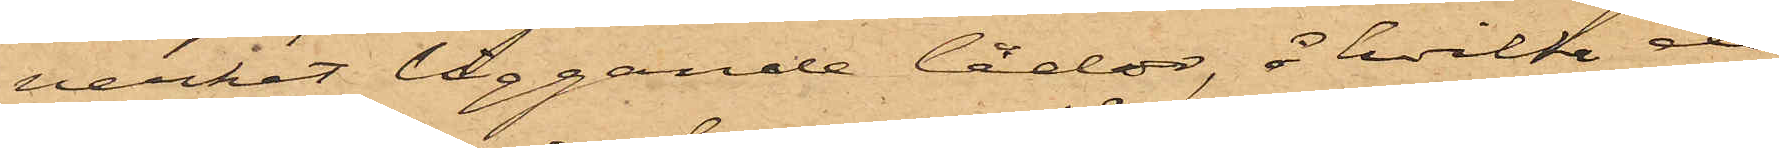verket liggande lådor, å hvilke de
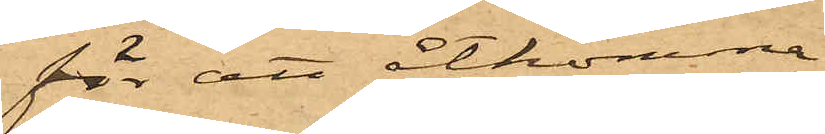för att åtkomma
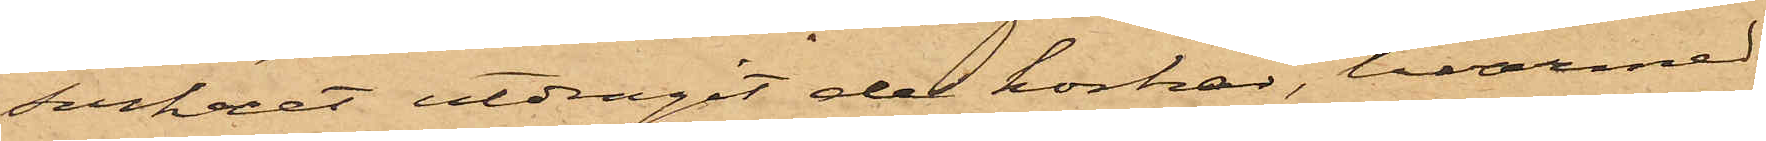sockret utdragit de korkar, hvarmed
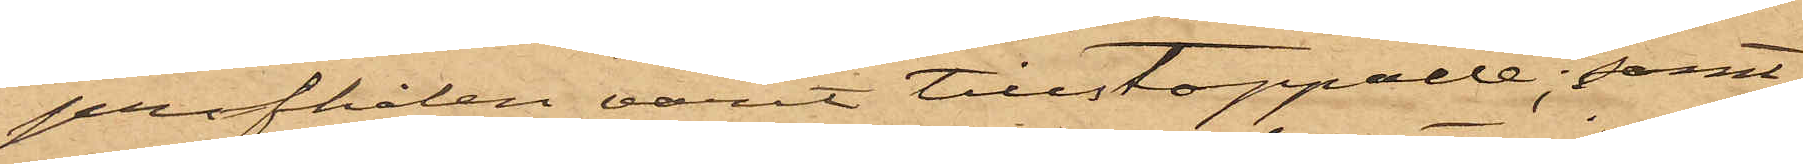profhålen varit tillstoppade; samt
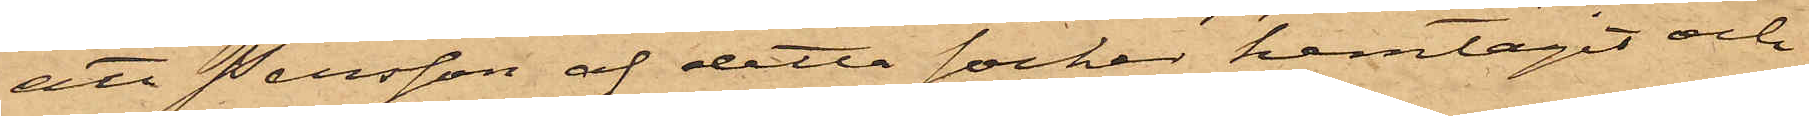att Persson af detta socker hemtagit och
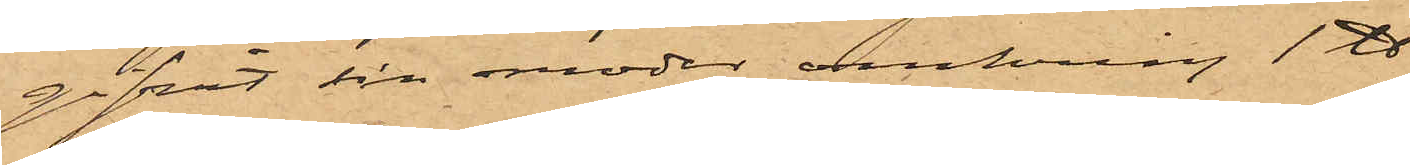gifvit sin moder omkring 1 ℔,
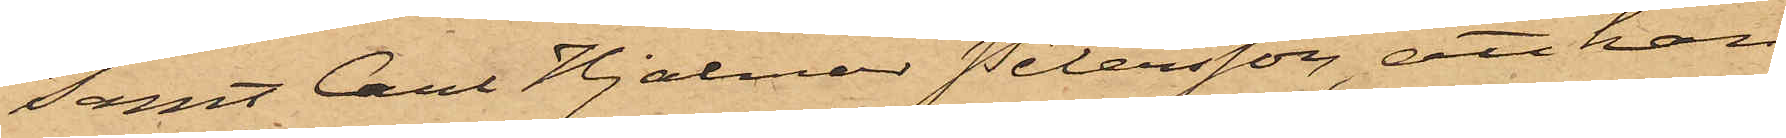samt Carl Hjalmar Petersson, att han
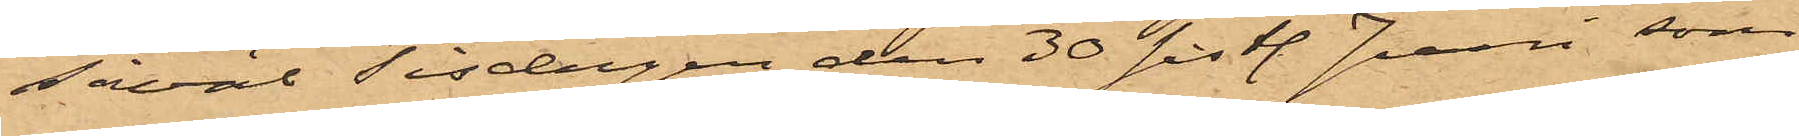såväl Tisdagen den 30 sist. Juni som
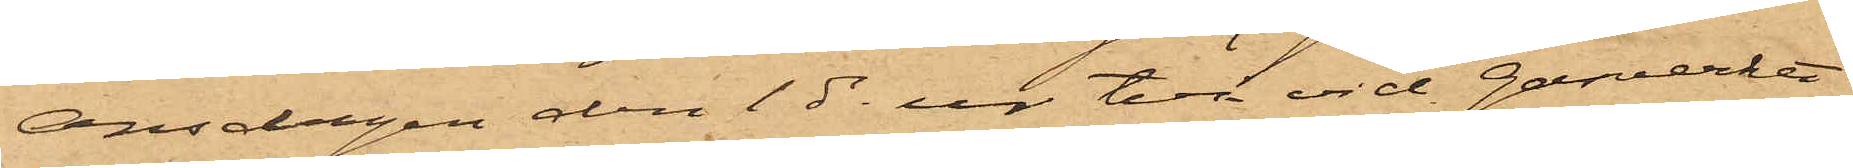Onsdagen den 1 ds ur två vid gasverket
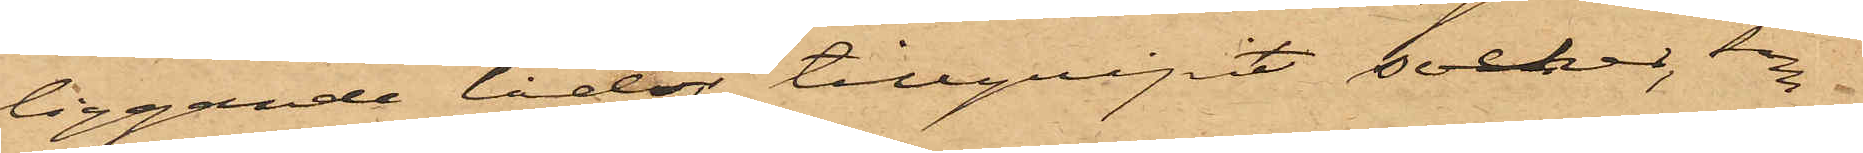liggande lådor tillgripit socker,som
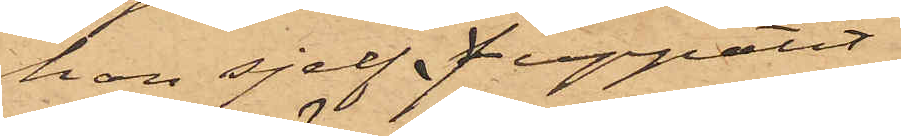han sjelf f uppätit.
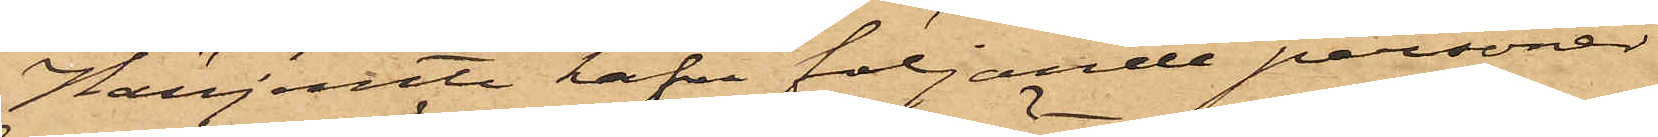Härjemte hafva följande personer
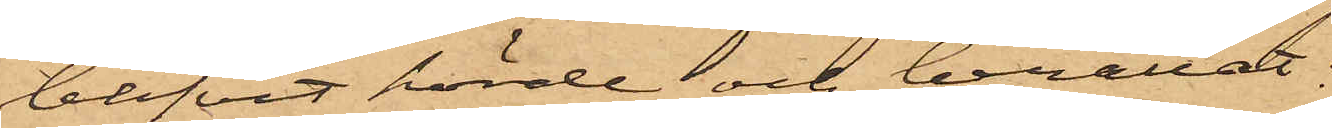blifvit hörde och berättat:
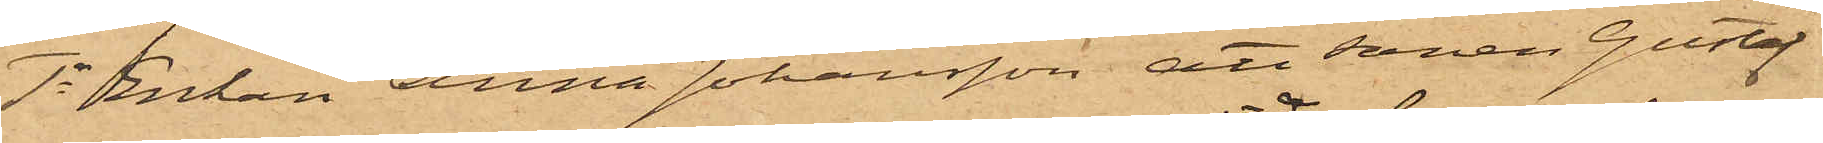1o Enkan Anna Johansson att sonen Gustaf
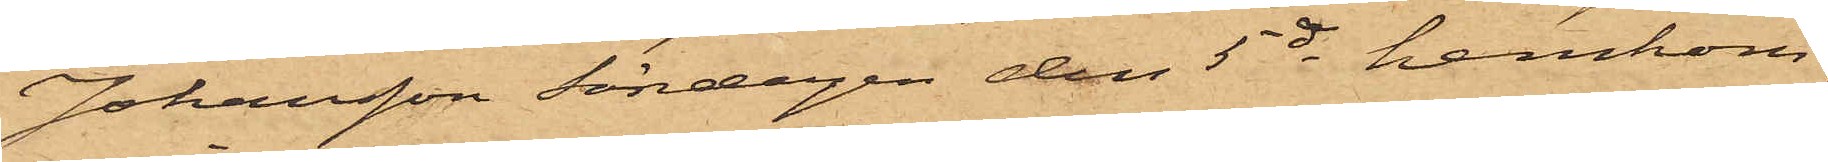Johansson Söndagen den 5 ds hemkom¬
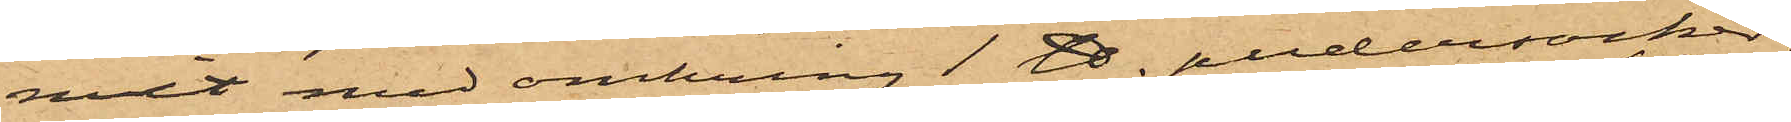mit med omkring 1 ℔ pudersocker;
